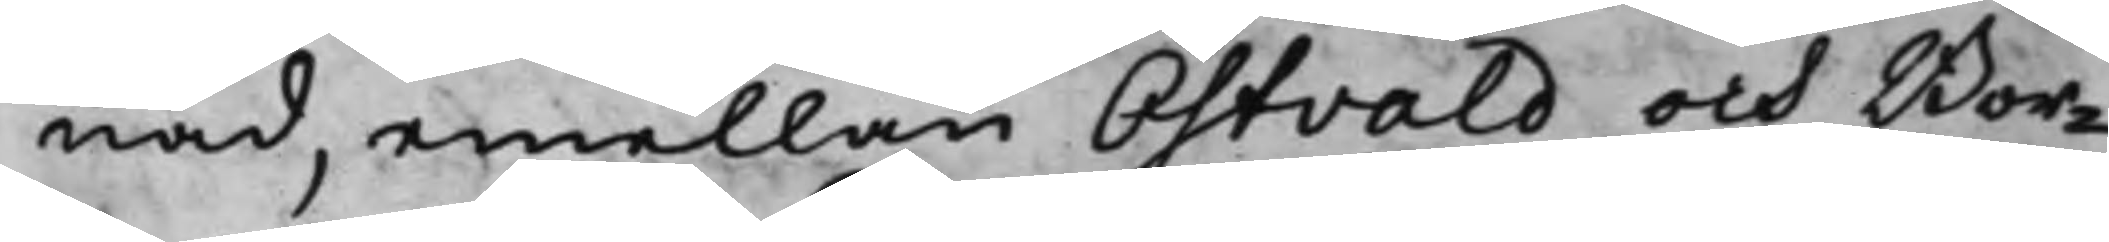nad, emellan Östvald och Bor¬
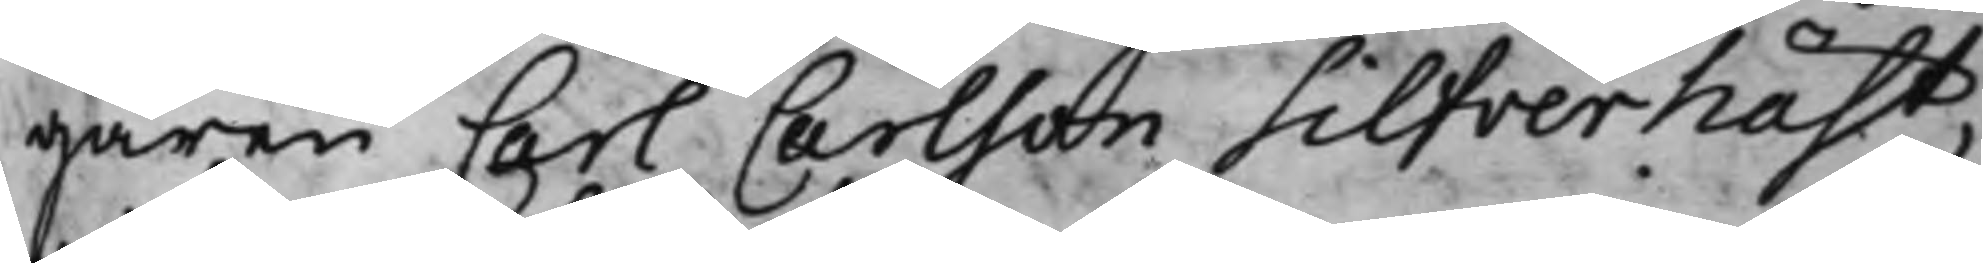garen Carl Carlson Silfverhäst,
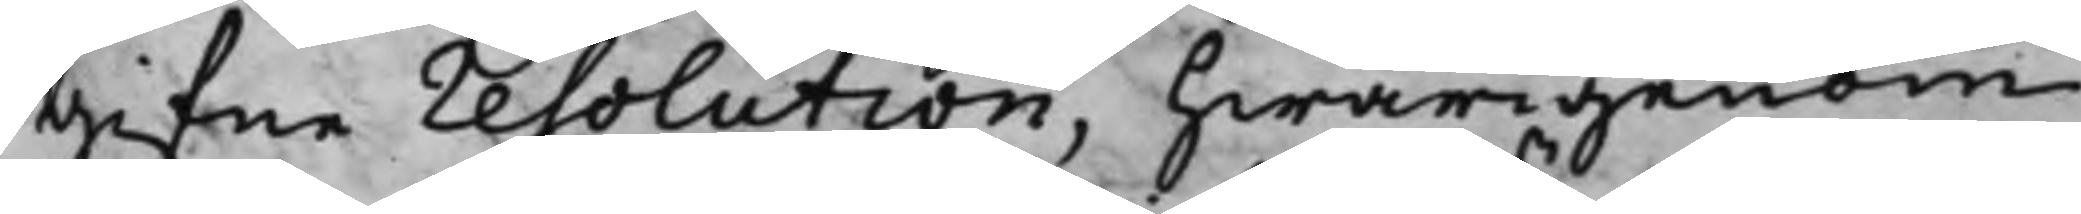gifne resolution, hwarigenom
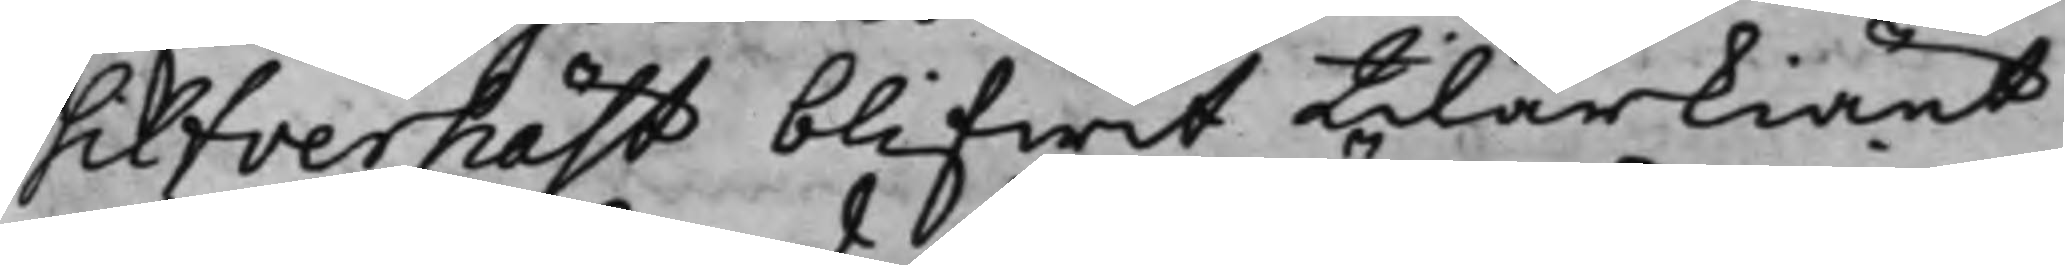Silfverhäst blifwit tillerkiänt
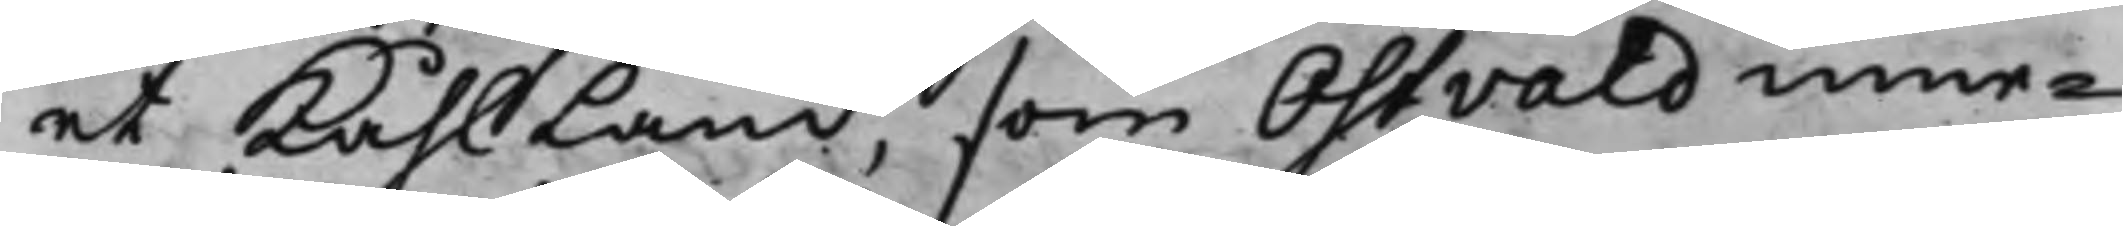et Kåhlland, som Östvald inne¬
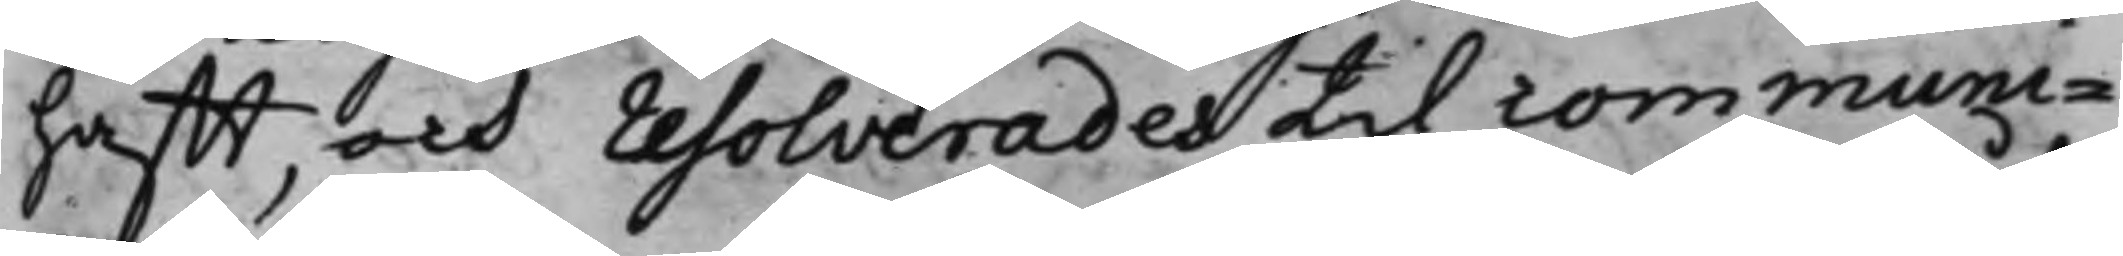hafft, och resolverades till communi¬
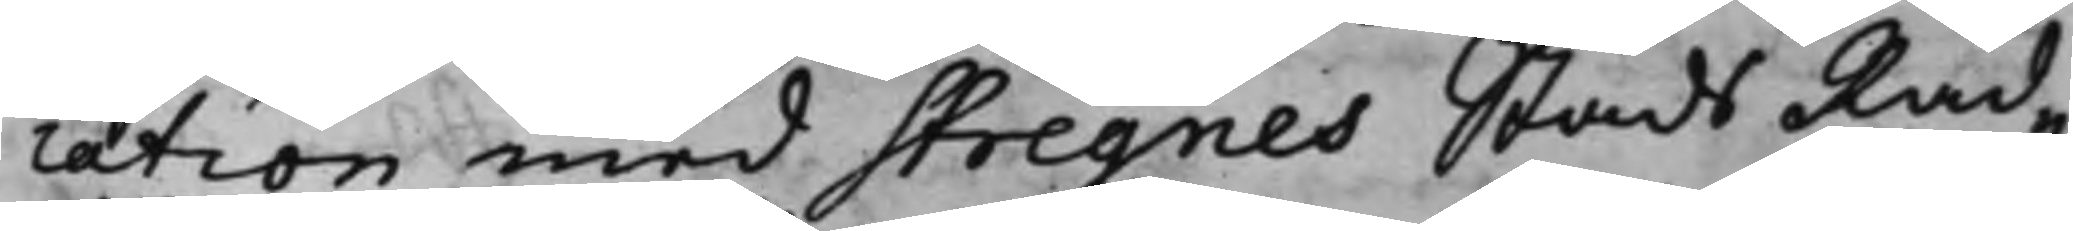cation med Stregnes Stads Råd¬
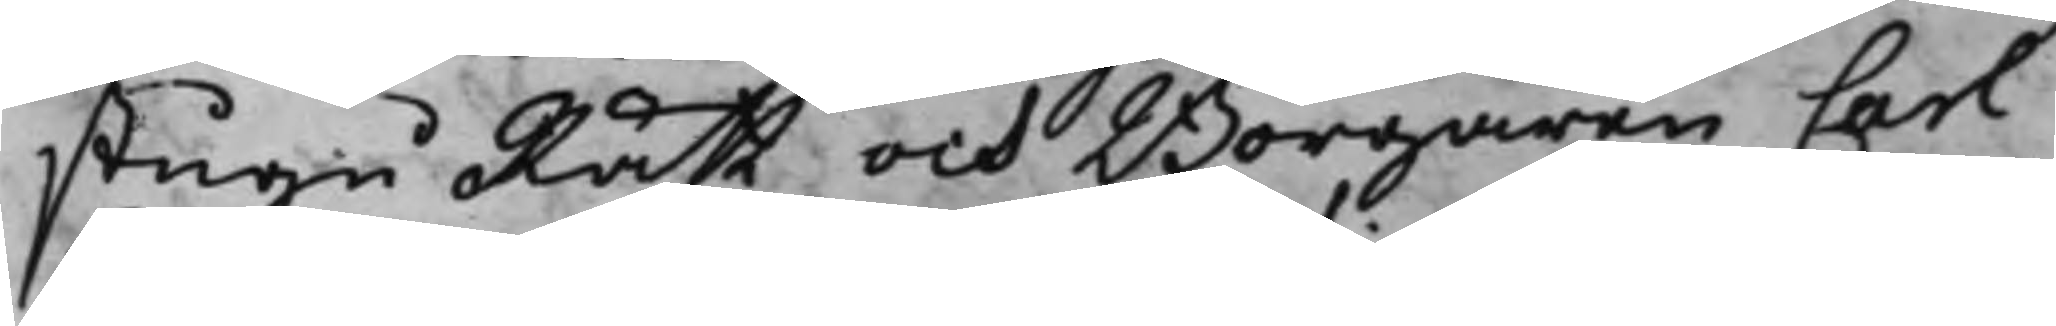stugu Rätt och Borgaren Carl
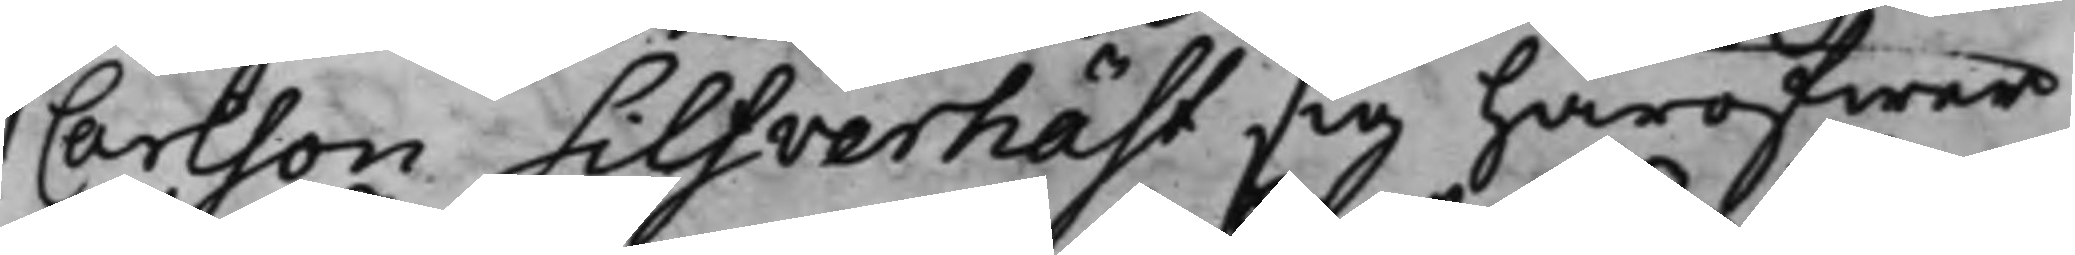Carlsson Silfverhäst sig häröfwer
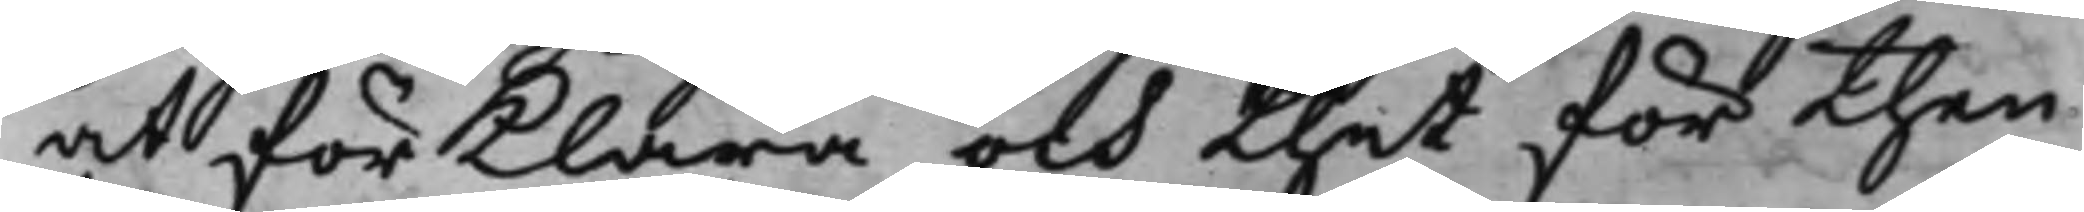at förklara och thet för then
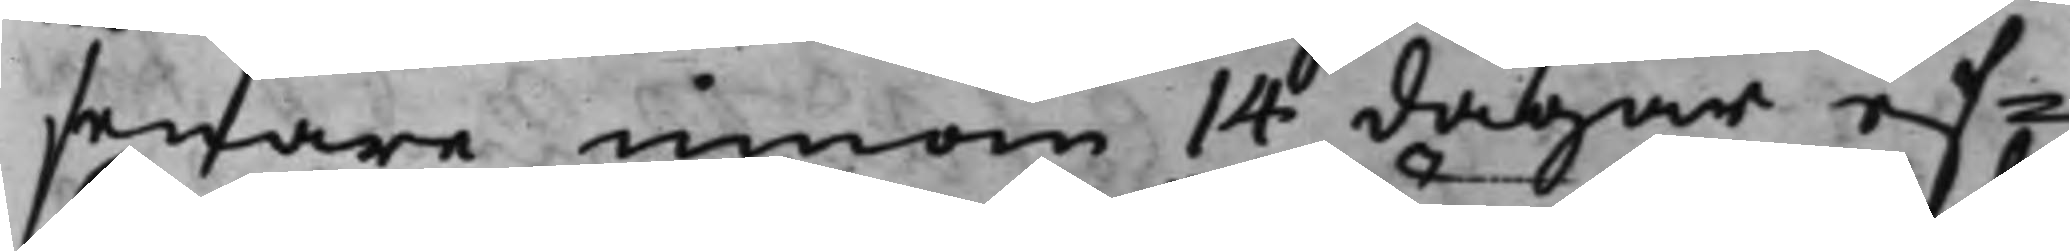senare innom 14 dagar ef¬
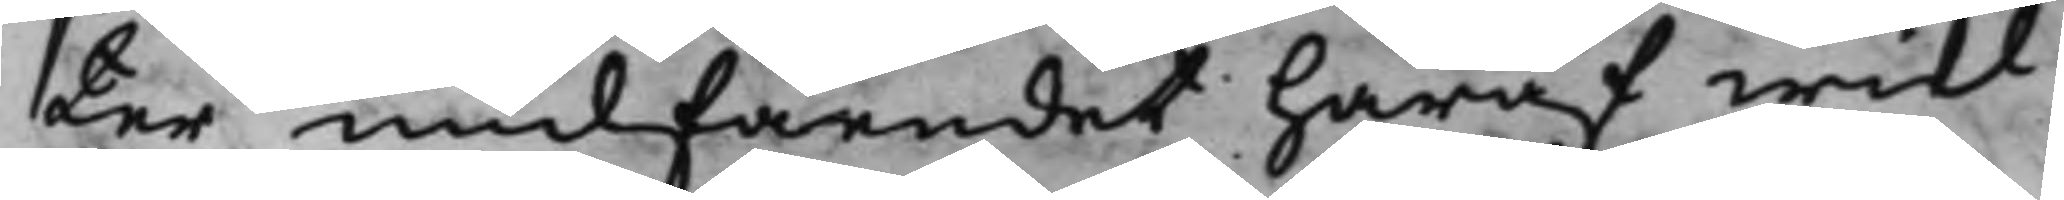ter undfåendet häraf wid
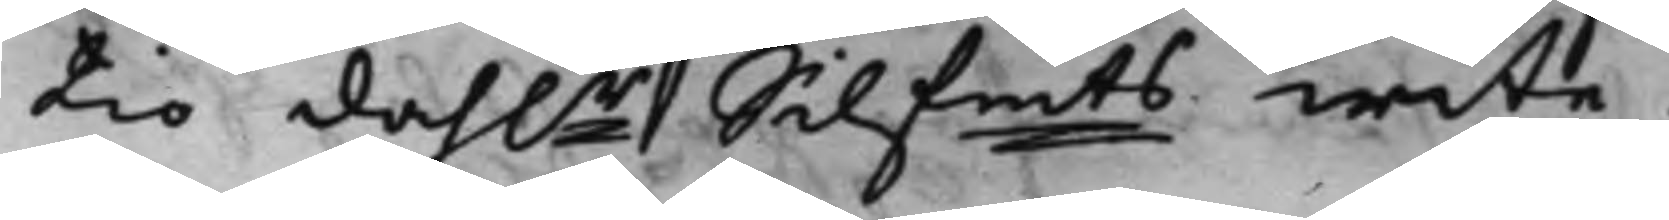tio dah.r Silfmts wite. 
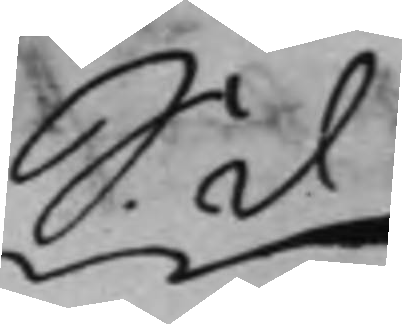S. d
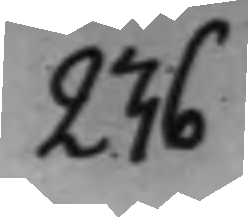236
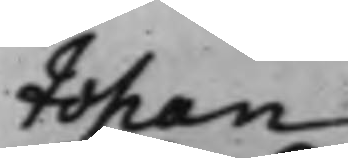Johan
